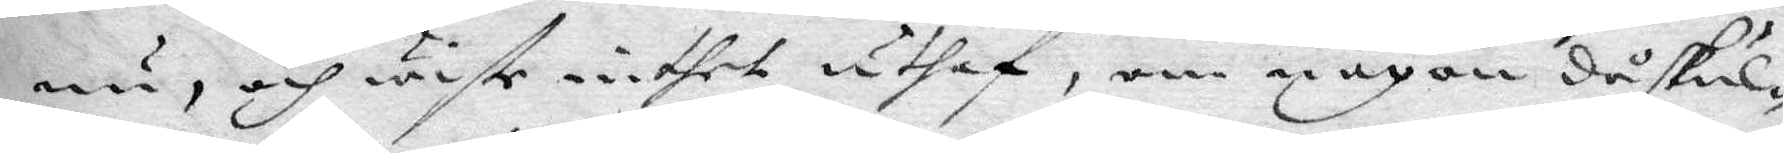nu, och wiste inthet uthaf, om någon då skul¬
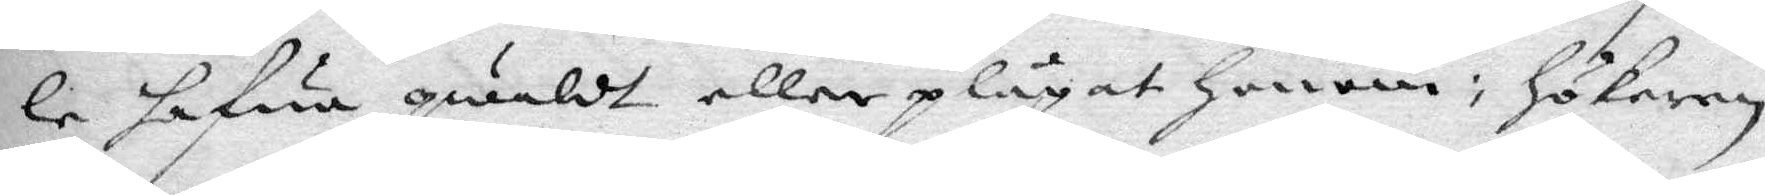le hafua qwäldt eller plågat honom: hökaren
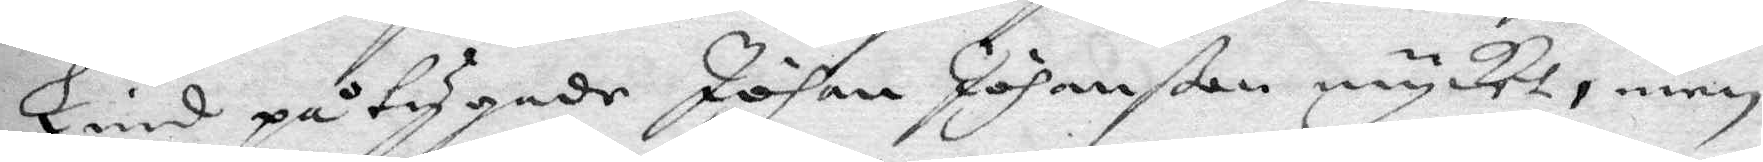Lind påtygade Johan Johanßon mycket, men
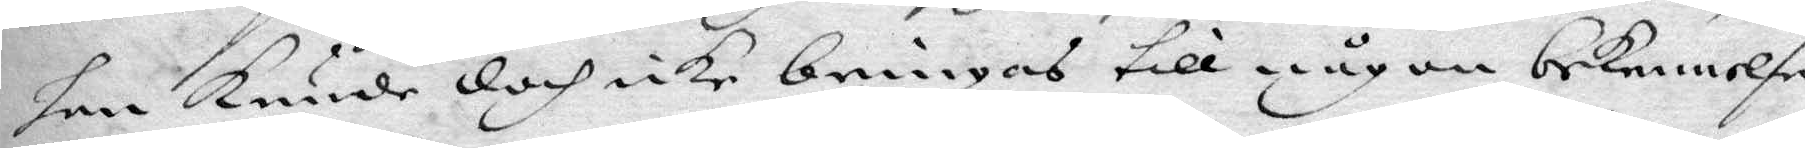han kunde doch icke bringas till någon bekennelse.
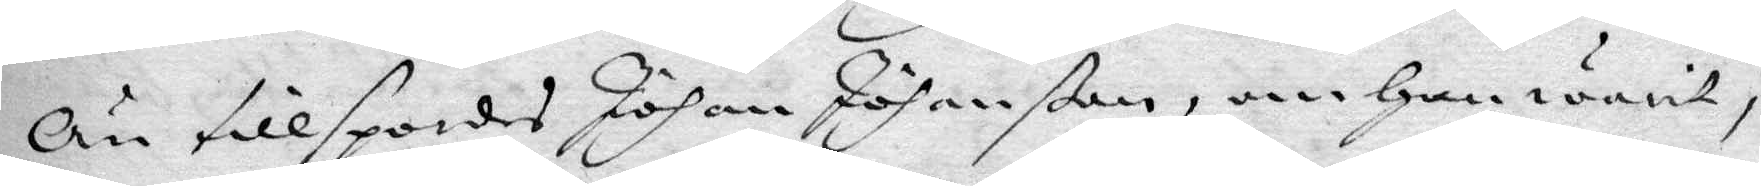Än tillspordes Johan Johanßon, om han warit i
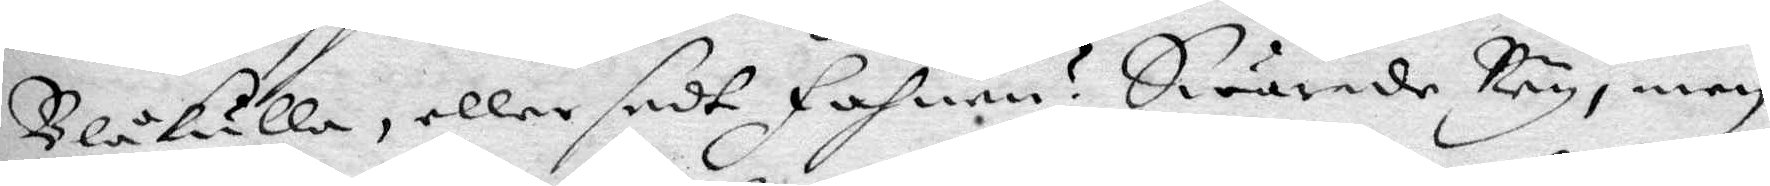Blåkulla, eller sedt Fahnen? Swarade Ney, men
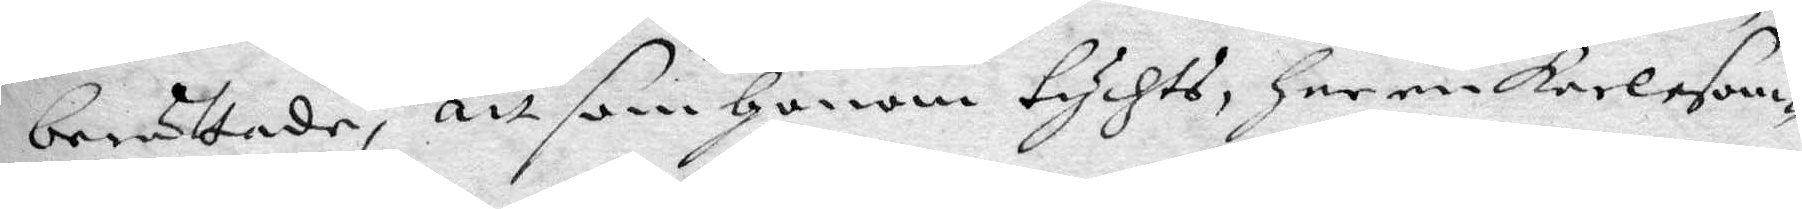berättade, att som honom tycht, har en karl som
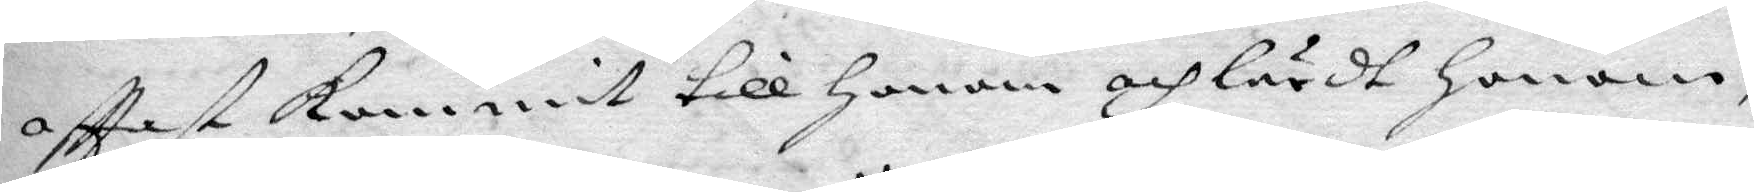ofttast kommit till honom och lärdt honom,
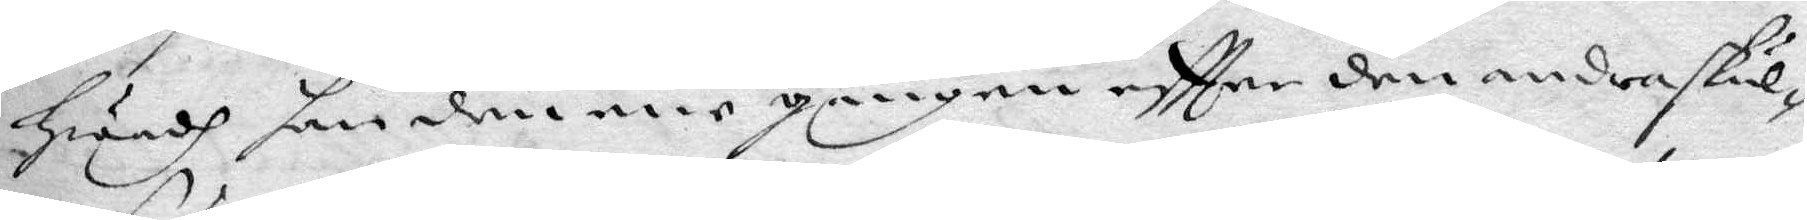hwadh han den ene gången eftter den andra skul¬
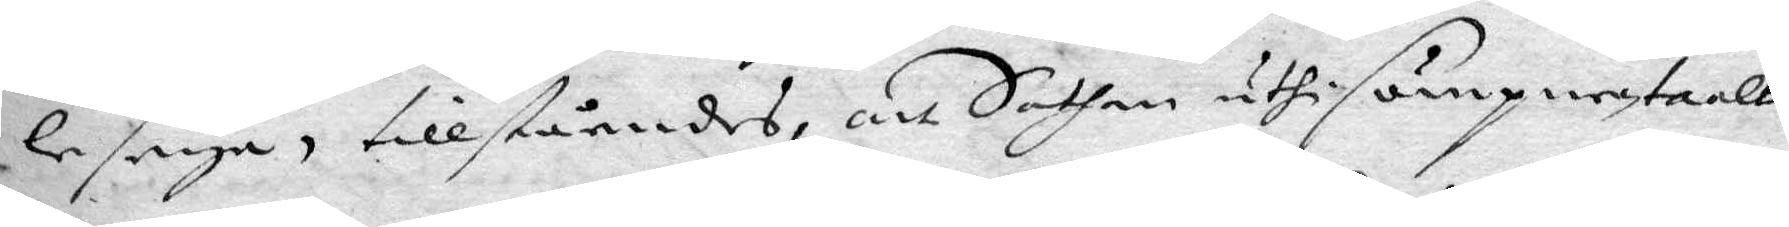le seya, tillståendes, att Sathan uthi sömpnen taalt
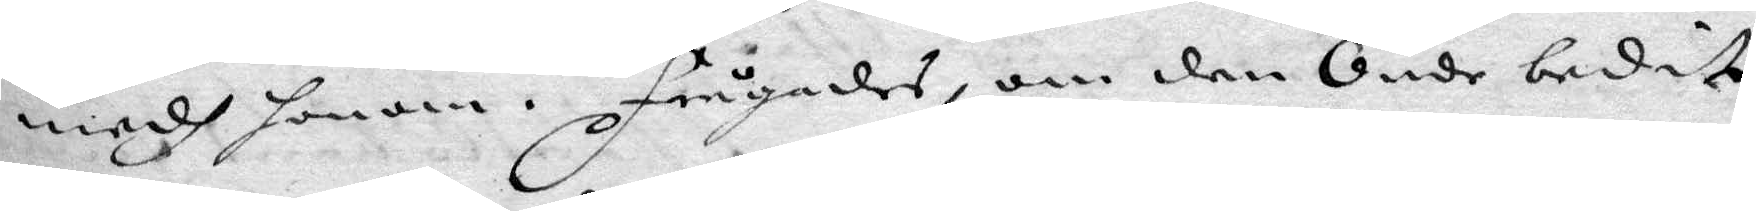medh honom, frågades, om den Onde bedit
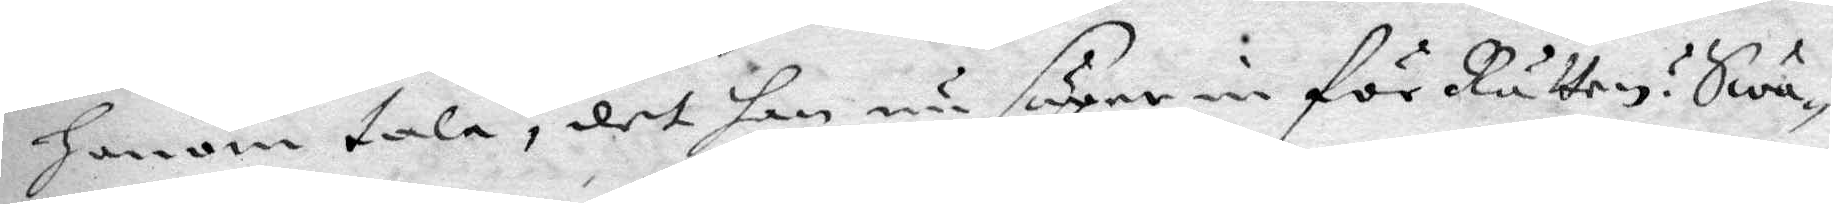honom tala, det han nu säger in för Rätten? Swa¬
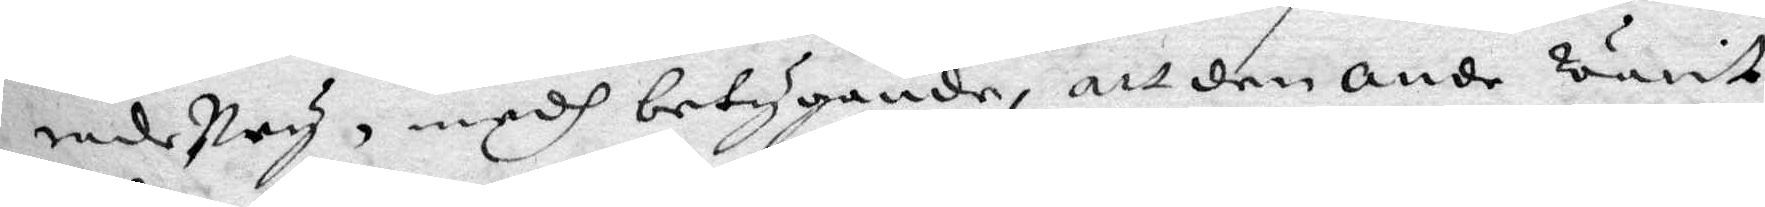rade Ney, medh betygande, att den onde warit
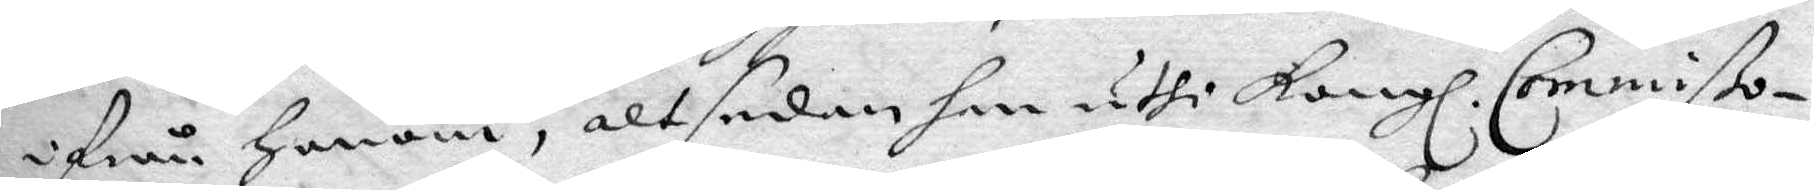ifrån honom, elt sedan han uthi Kongl. Commißo¬
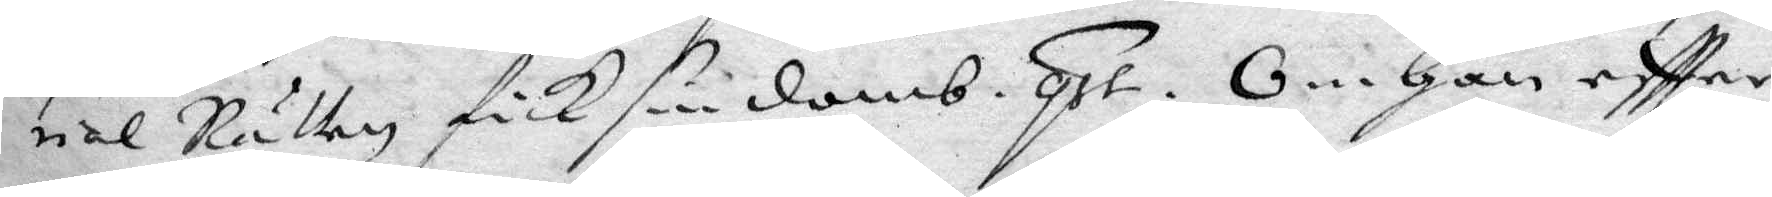rial Rätten fick sin domb. qst. Om han eftter
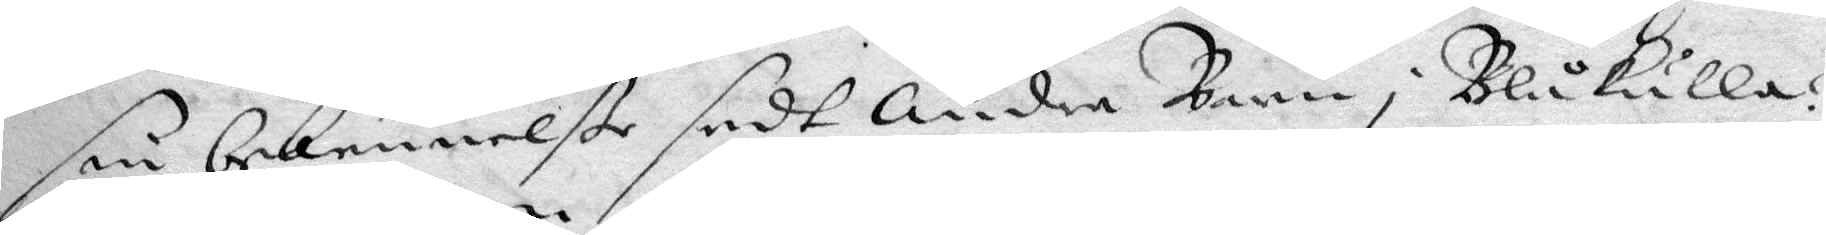sin bekennelße sedt Andre Barn i Blåkulla?
